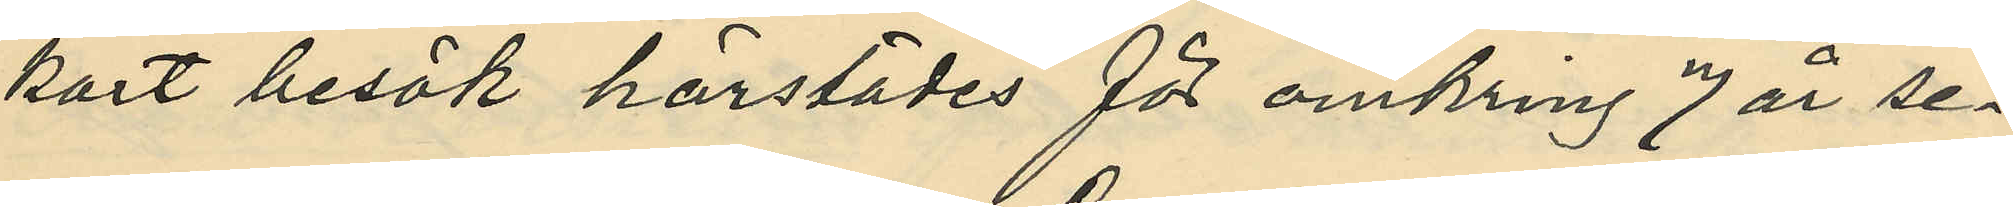kort besök härstädes för omkring 7 år se¬
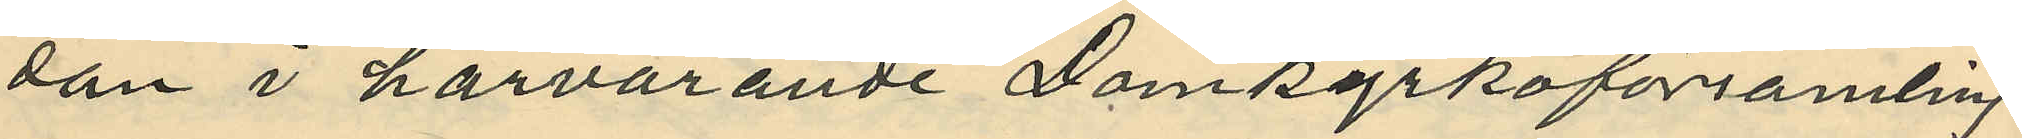dan i härvarande Domkyrkoförsamling
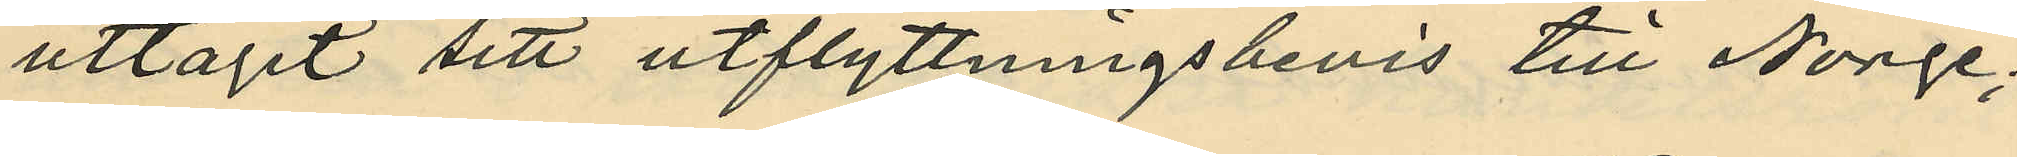uttagit sitt utflyttningsbevis till Norge;
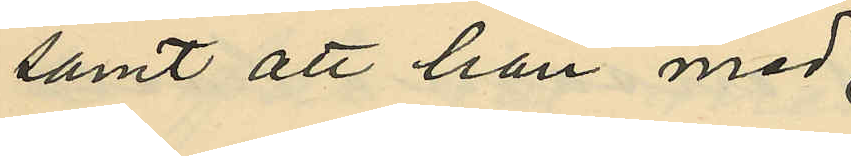samt att han med
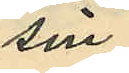sin
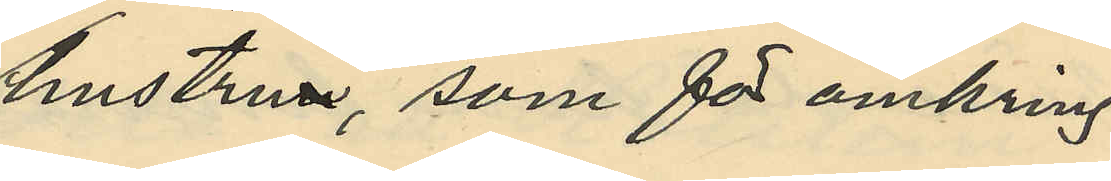hustru, som för omkring
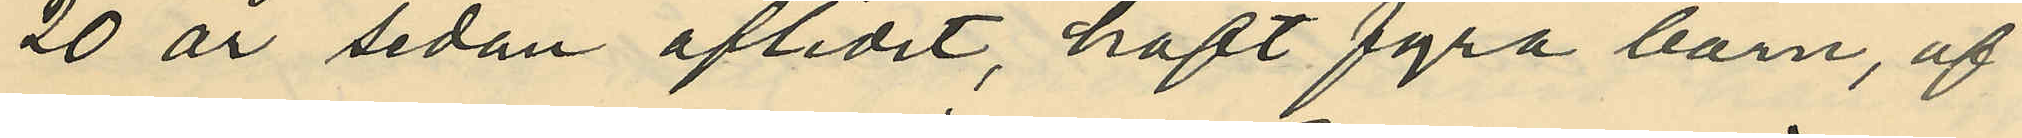20 år sedan aflidit, haft fyra barn, af
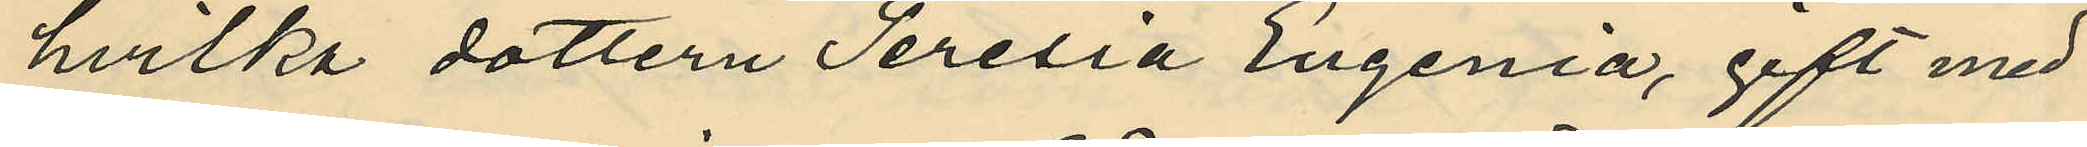hvilka dottern Teresia Eugenia, gift med
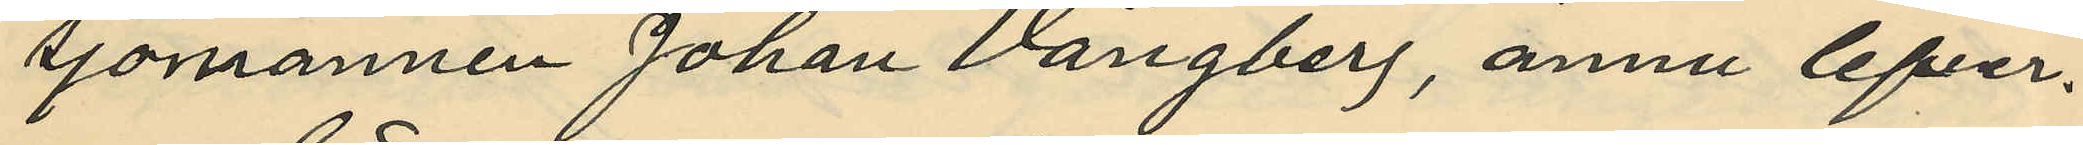sjömannen Johan Vångberg, ännu lefver.
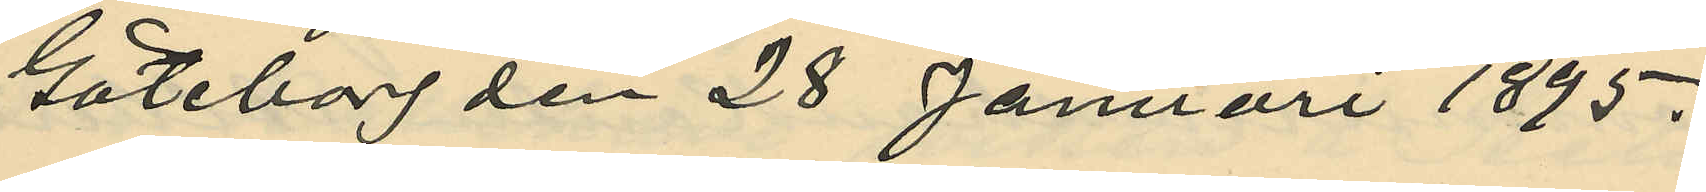Göteborg den 28 Januari 1895.
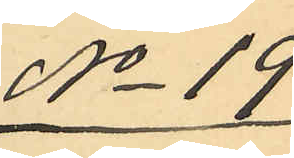No 19
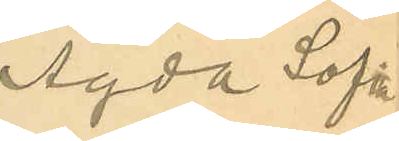Agda Sofia
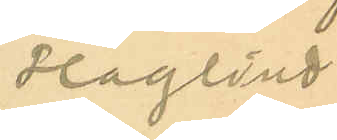Haglind
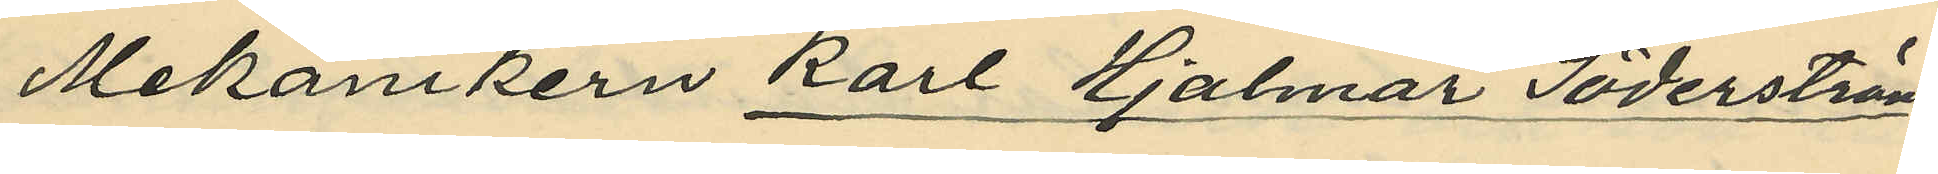Mekanikern Karl Hjalmar Söderström,
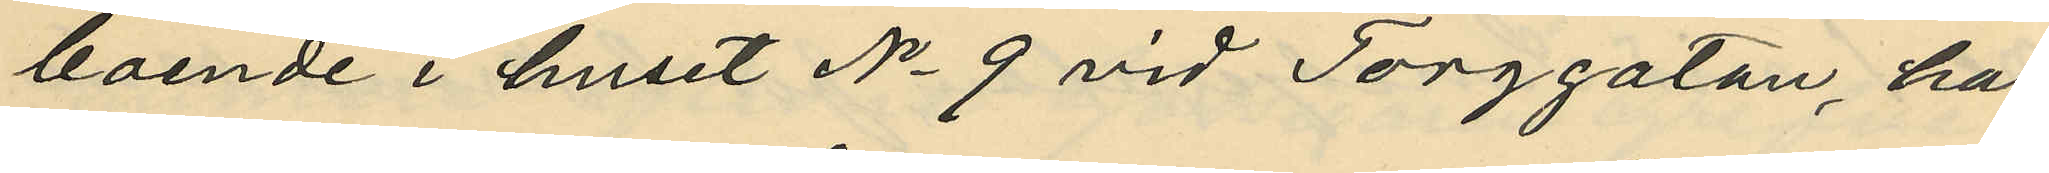boende i huset No 9 vid Torggatan, har
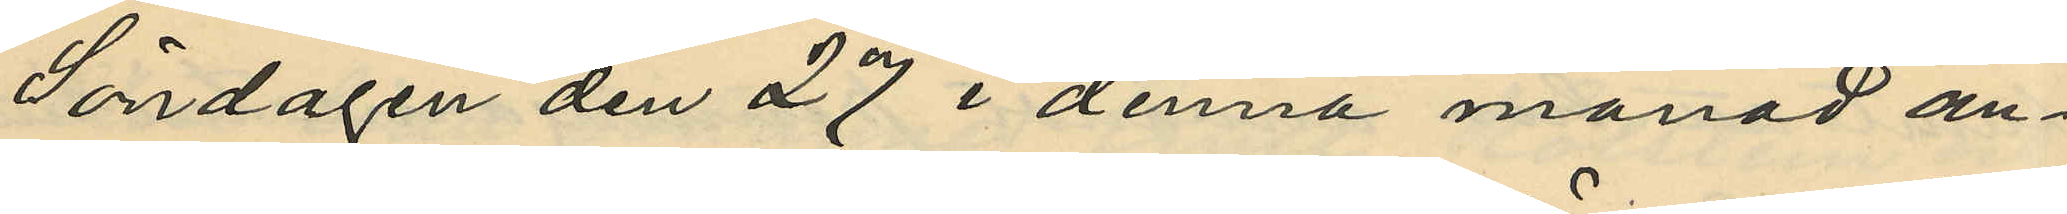Söndagen den 27 i denna månad an¬
